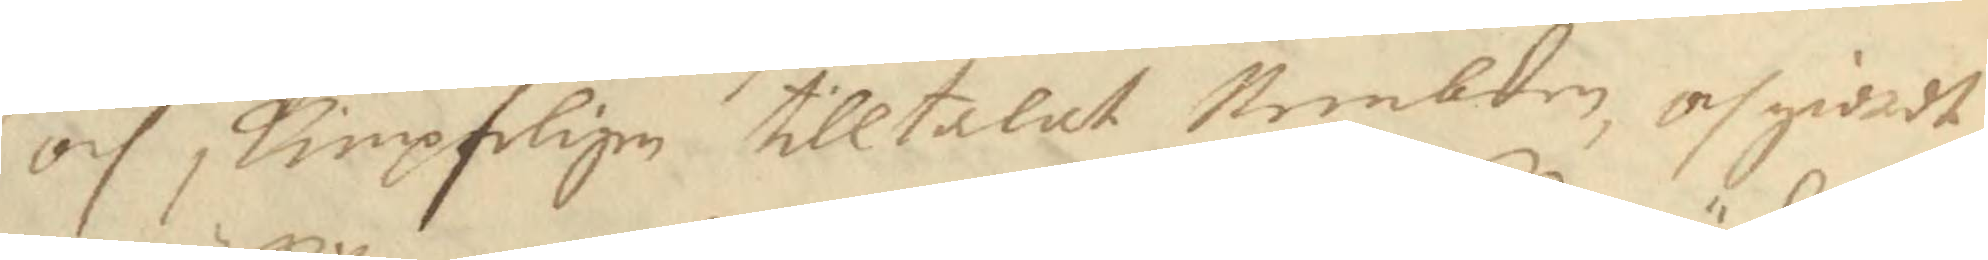och skimpteligen tilltalat Nembden, och giordt
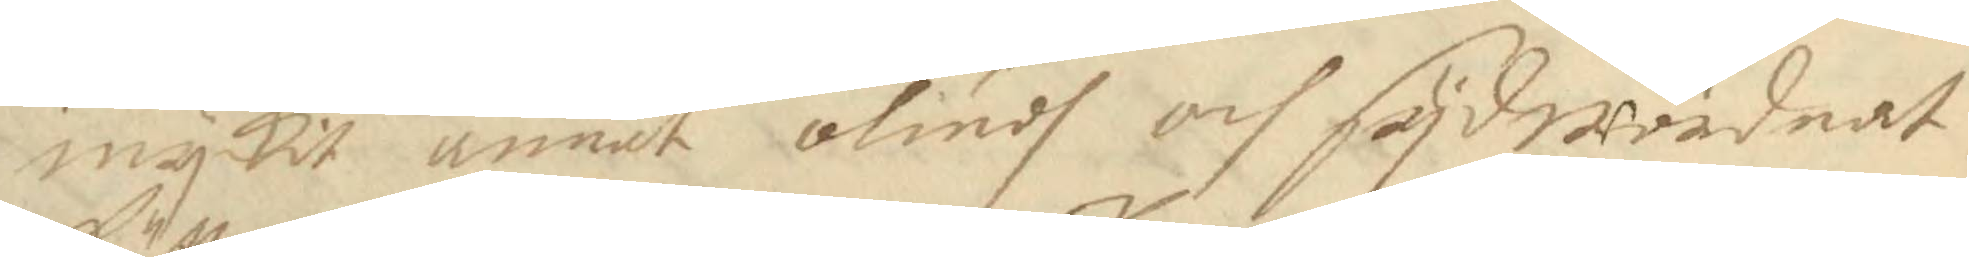myckit annat oliudh och sydwördnat
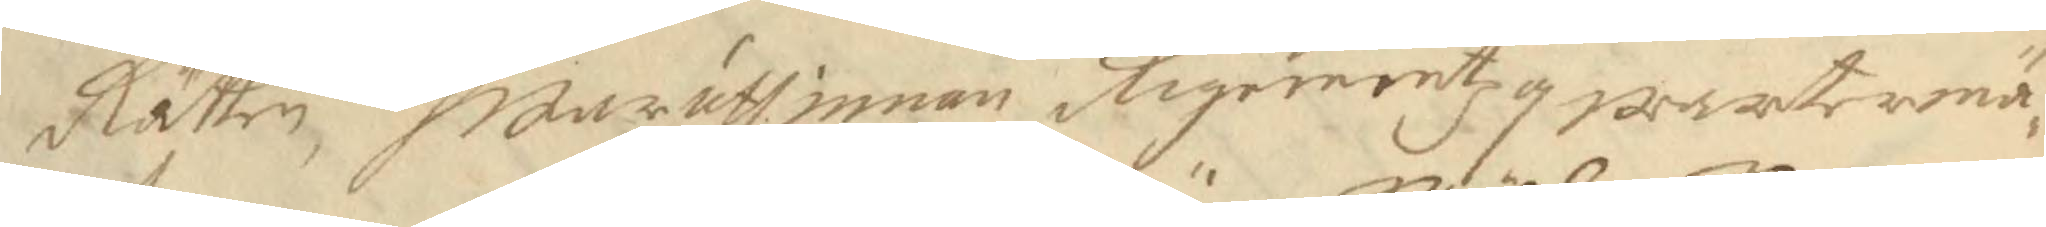Rätten, Hwaruthinnan Rigementz qwartermä¬
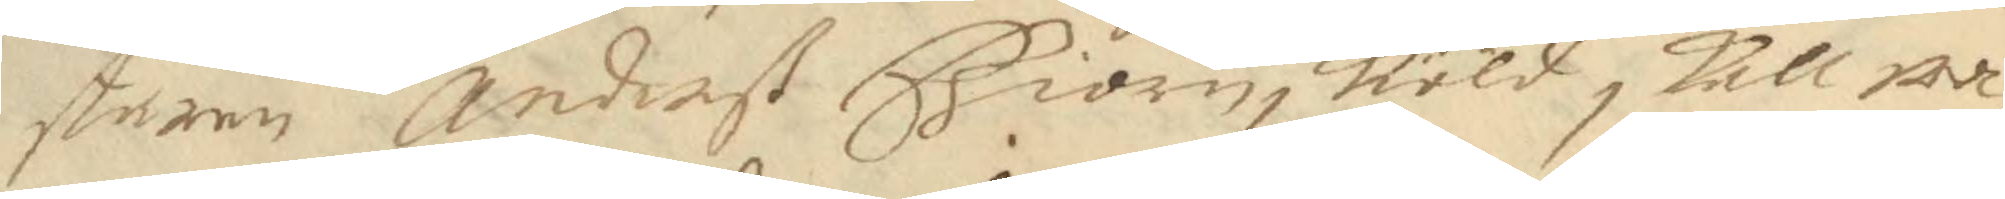staren Anderß Biörnsköld skall wa¬
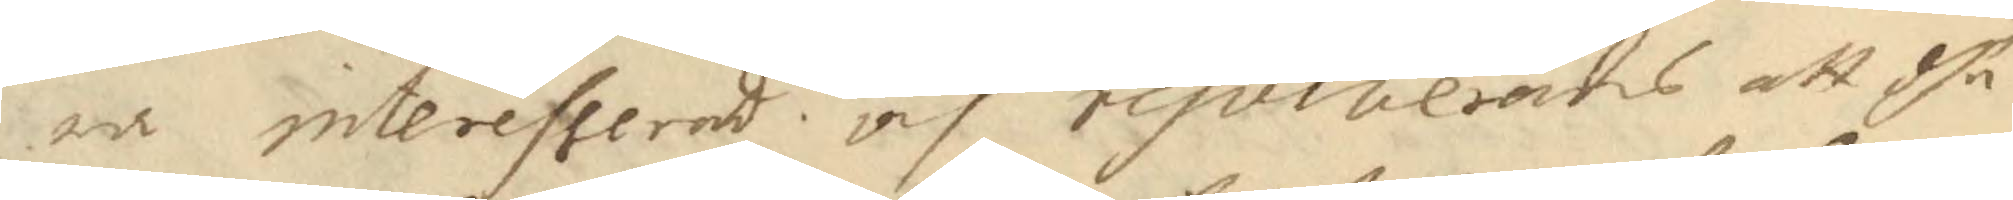ra interesserad och resolverades att dhe
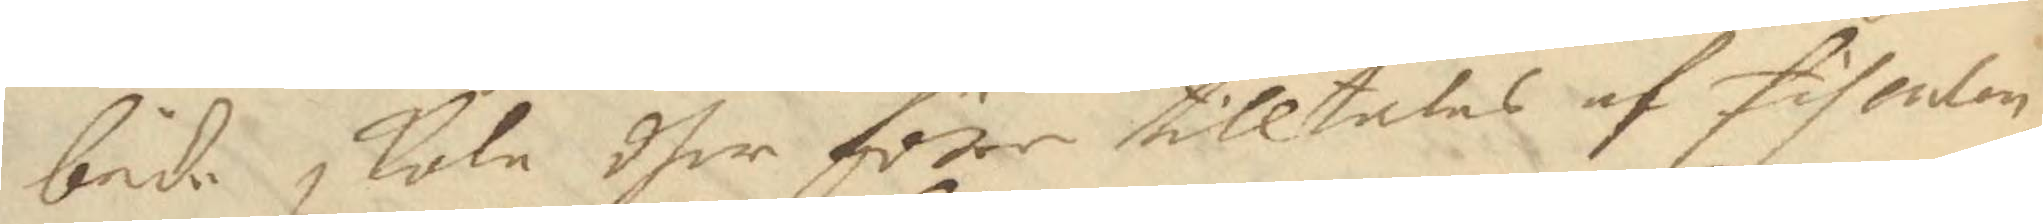både skola dher före tilltalas af fiscalen
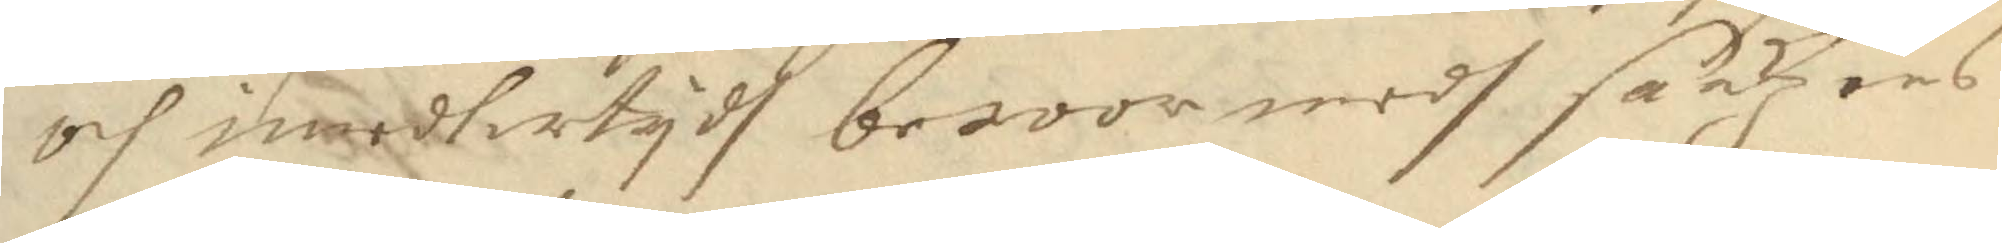och imedertydh beroor medh sakzens
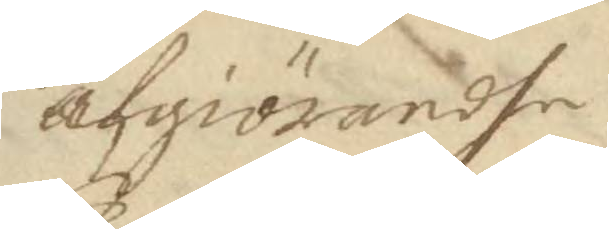afgiörandhe
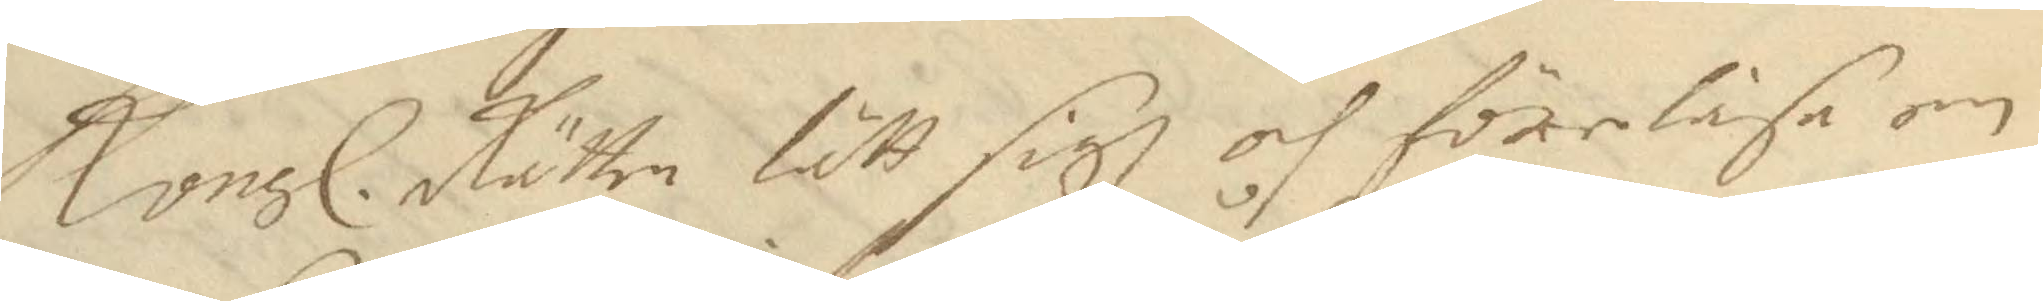Kongl. Rätten lätt sigh och föreläsa om 
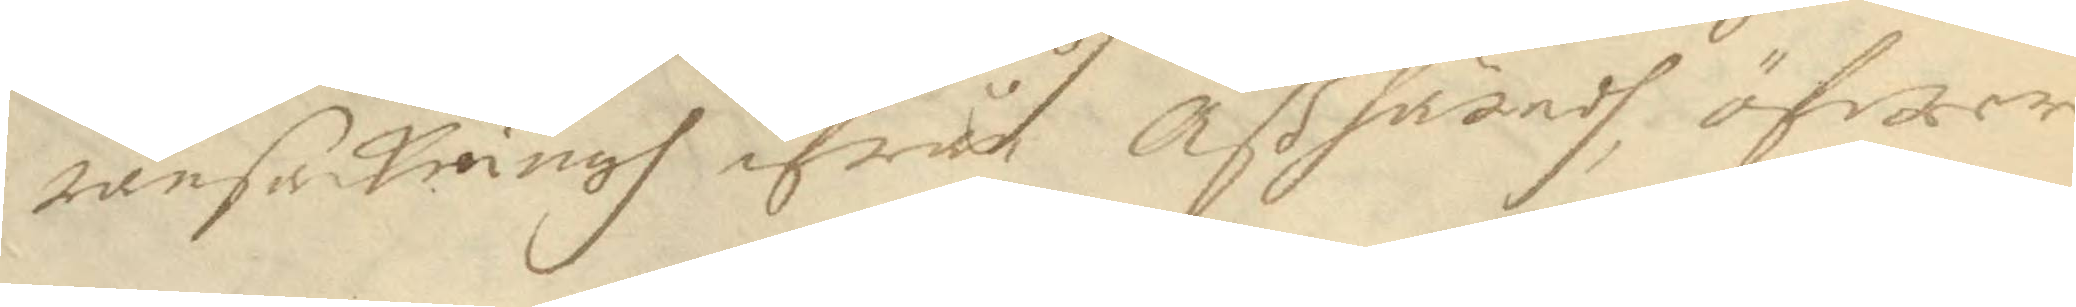ransakningh ifrån Åß häradh öfwer
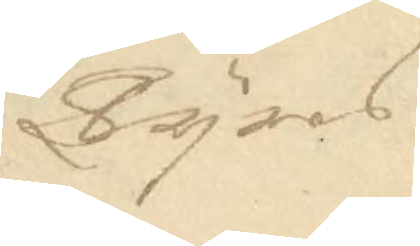Tyres
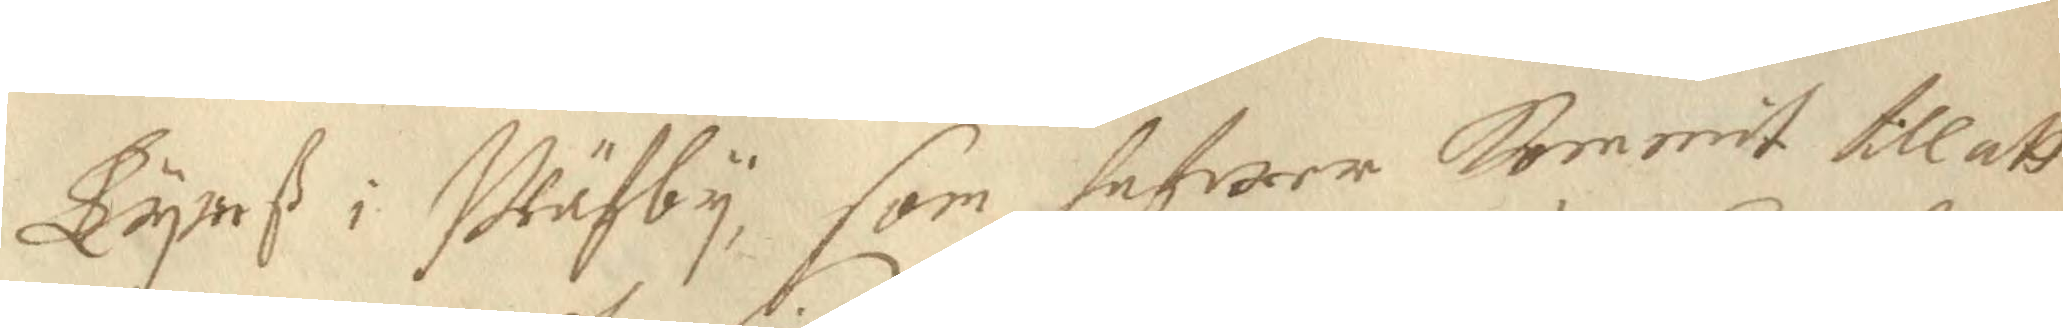Tyneß i Wäsby, som hafwer kommit till att
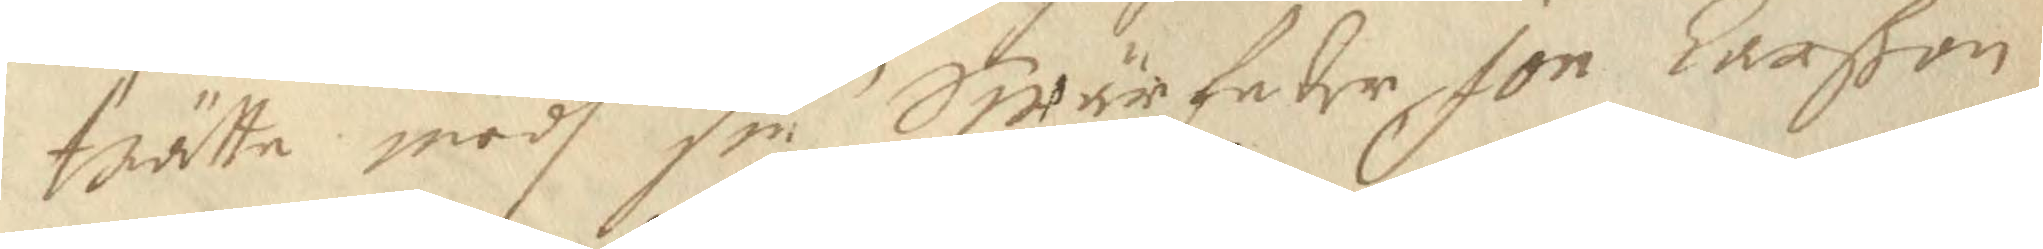trätte medh sin Swärfader Jon Larßon
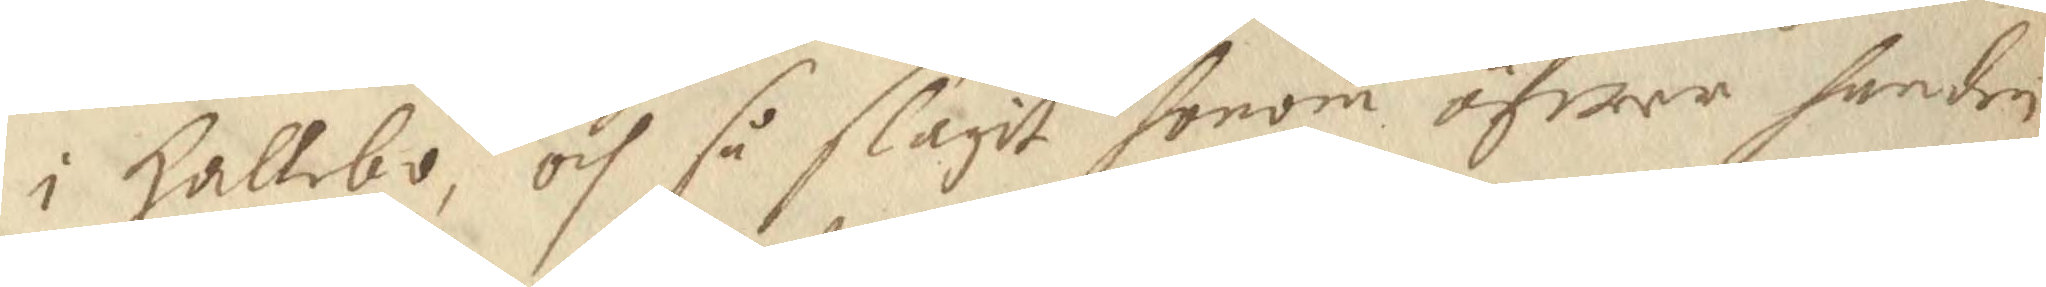i Hallebo, och så slagit honom öfwer handen
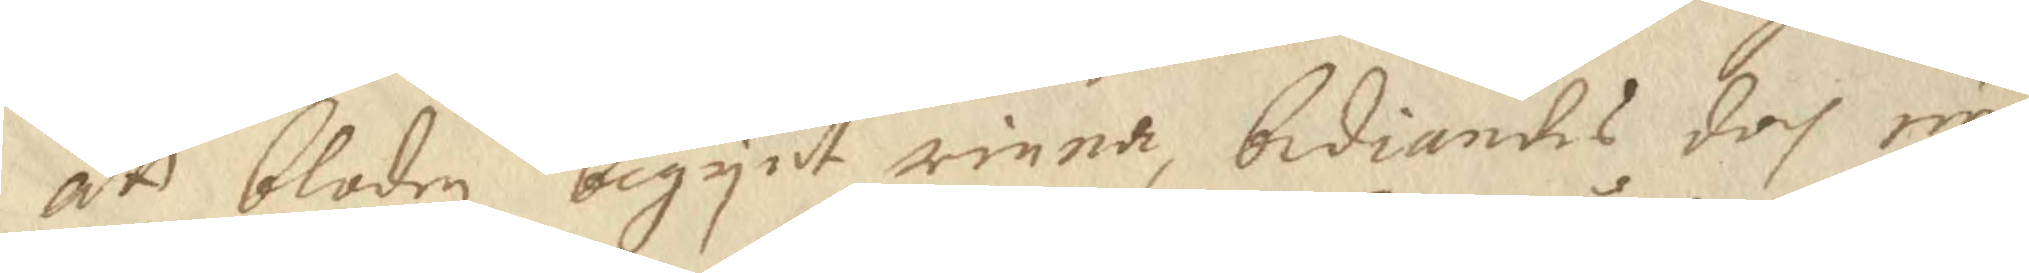att bloden begynt rinna, bediandes doch nu
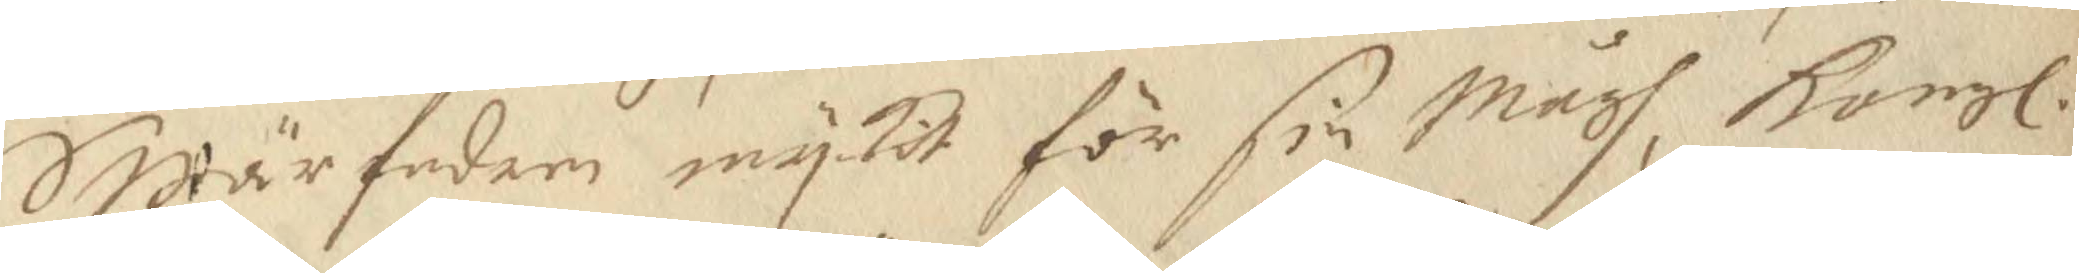Swärfadern myckit för sin Mågh, Kongl. 
